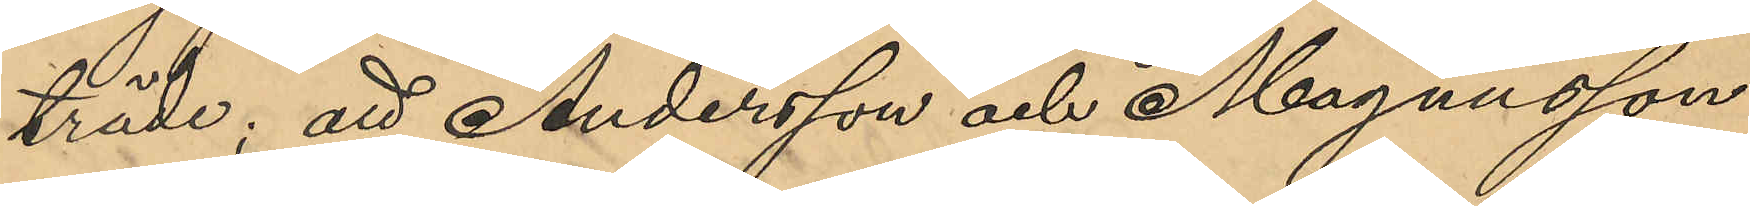träde; att Andersson och Magnusson
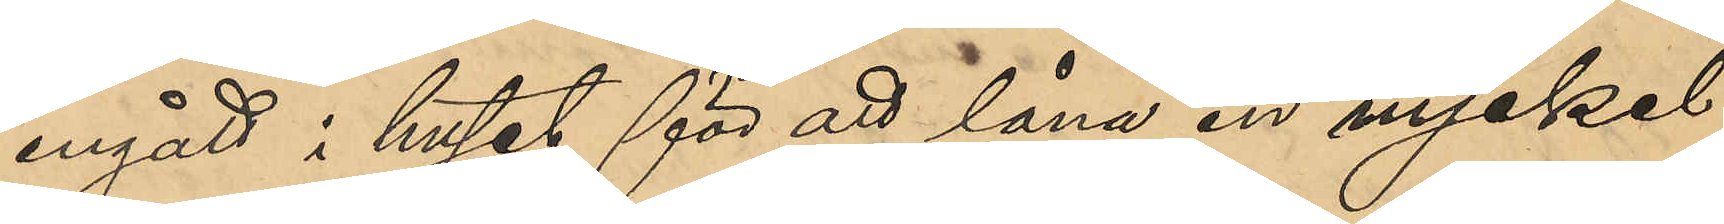ingått i huset för att låna en nyckel
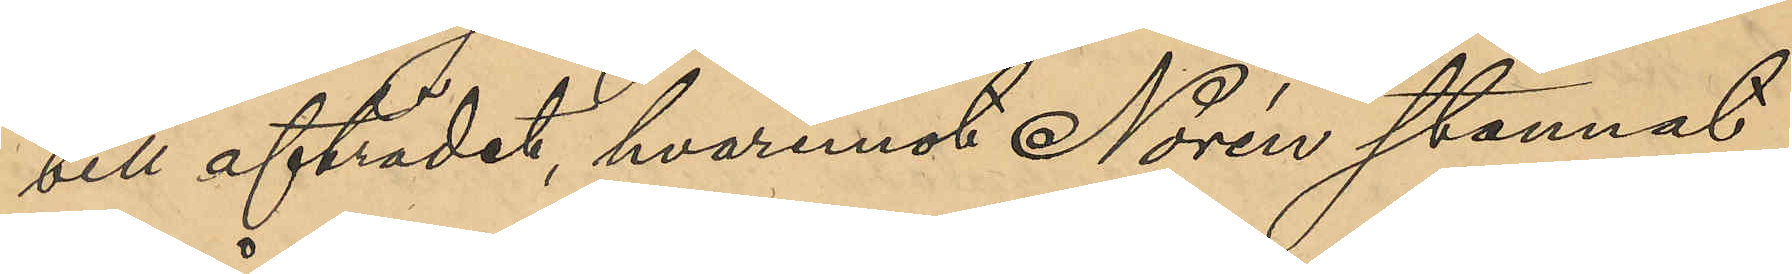till afträdet, hvarmed Norén stannat
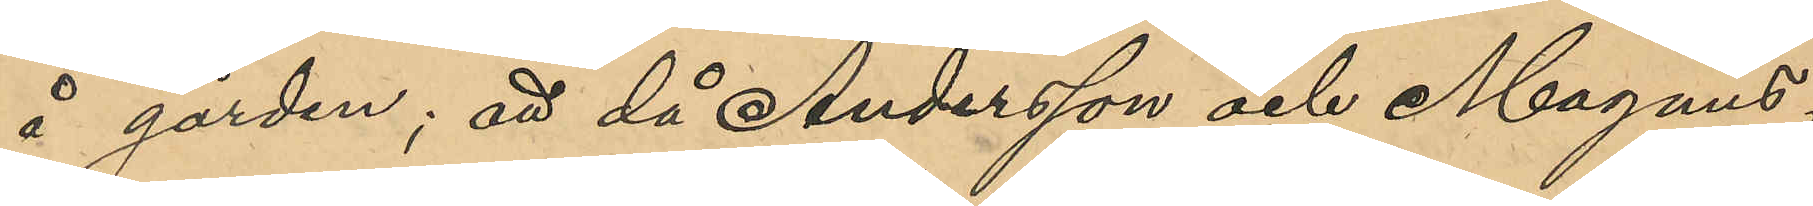å gården; att då Andersson och Magnus¬
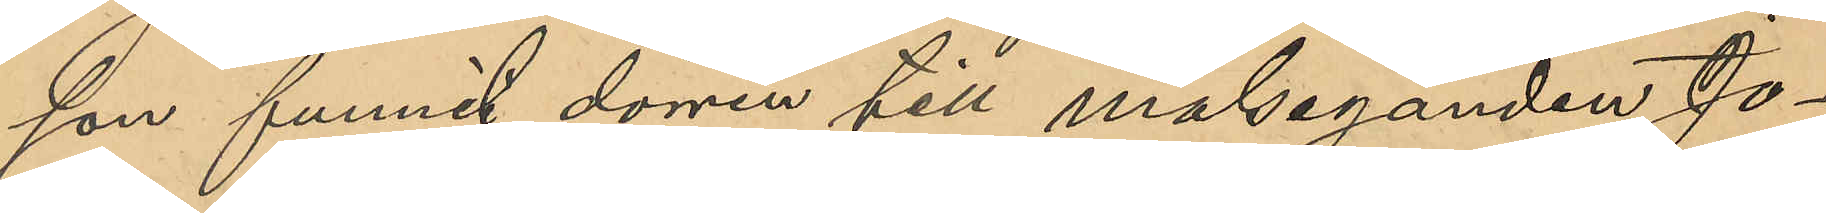son funnit dörren till målseganden Jo¬
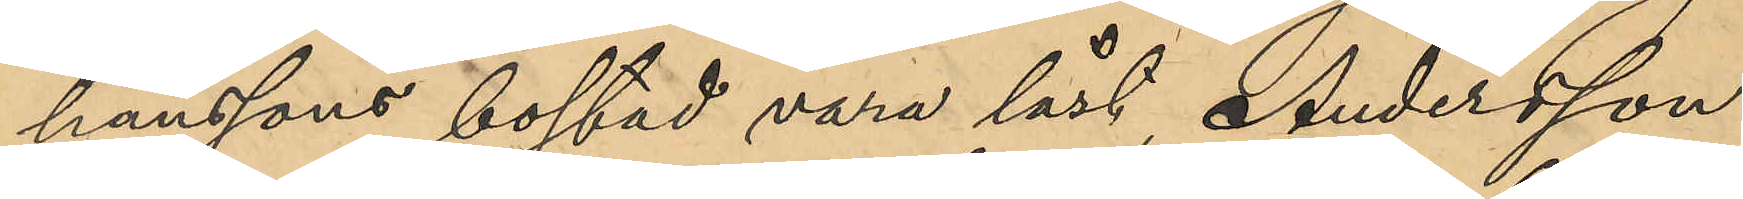hanssons bostad vara låst, Andersson
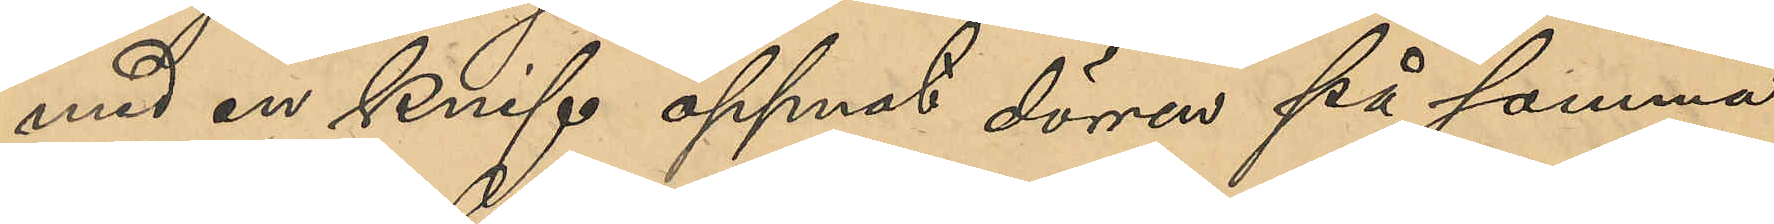med en knif öppnat dörren på samma
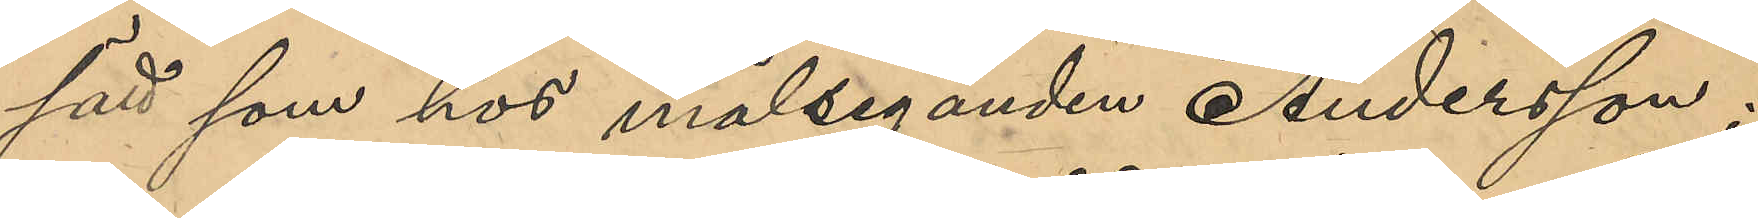sätt som hos målseganden Andersson;
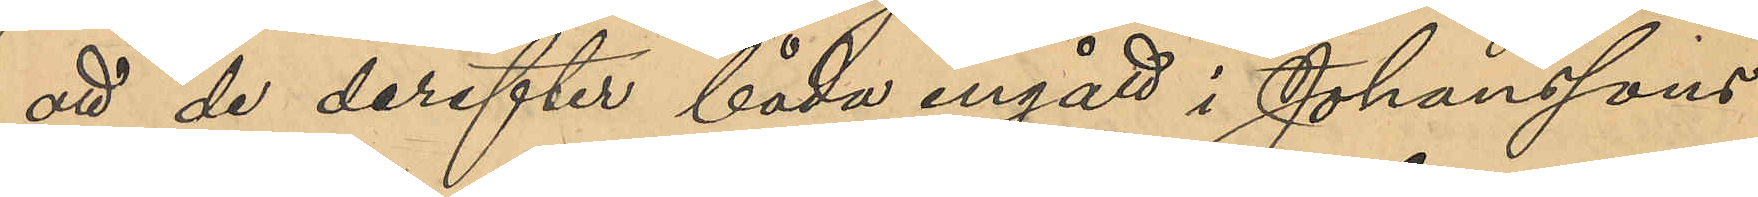att de derefter båda ingått i Johanssons
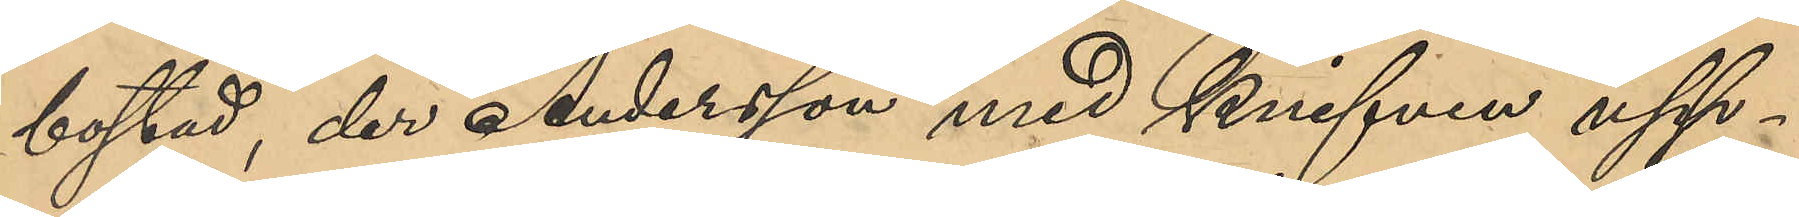bostad, der Andersson med knifven upp¬
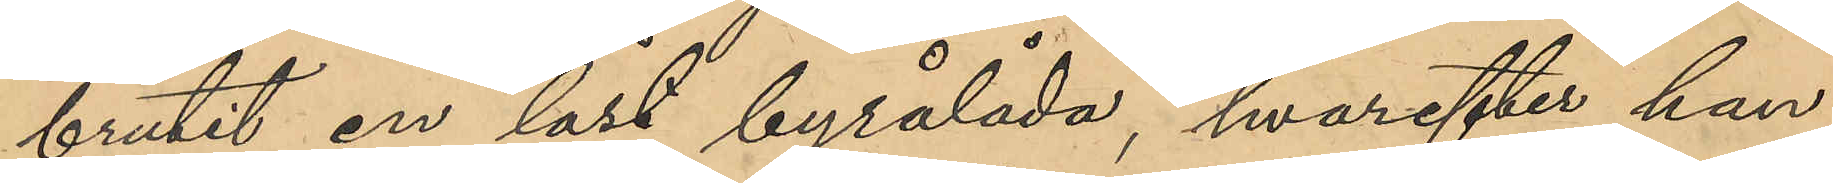brutit en låst byrålåda, hvarefter han
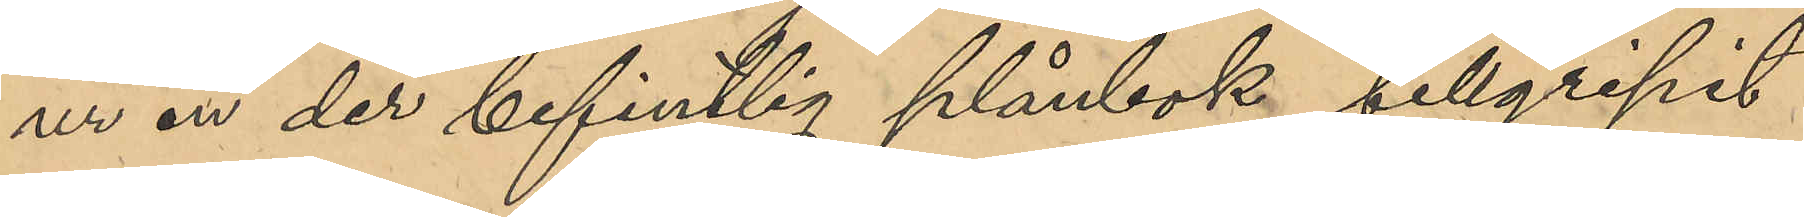ur en der befintlig plånbok tillgripit
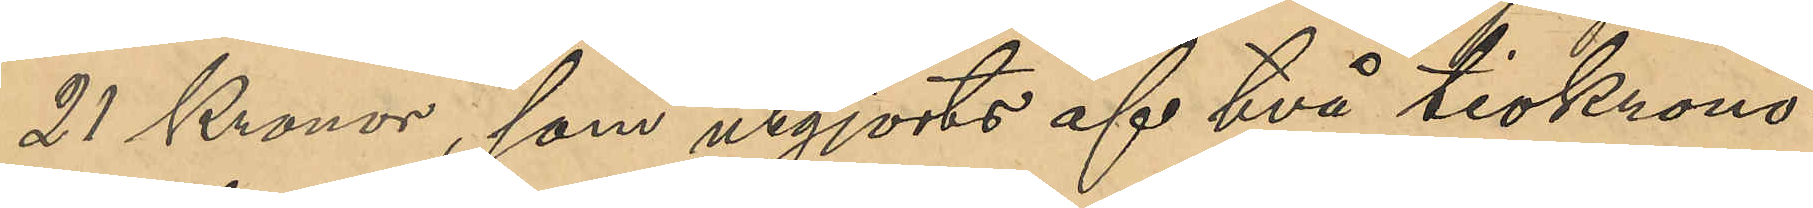21 Kronor, som utgjorts af två tiokrono¬
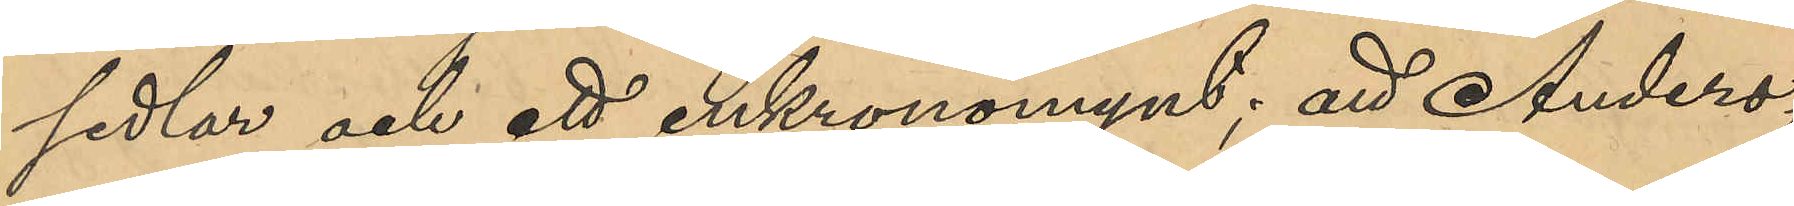sedlar och ett enkronomynt; att Anders¬
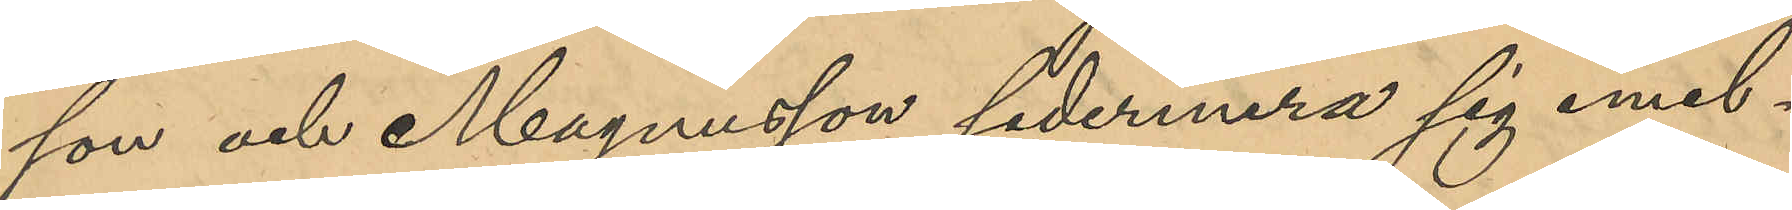son och Magnusson sedermera sig emel¬
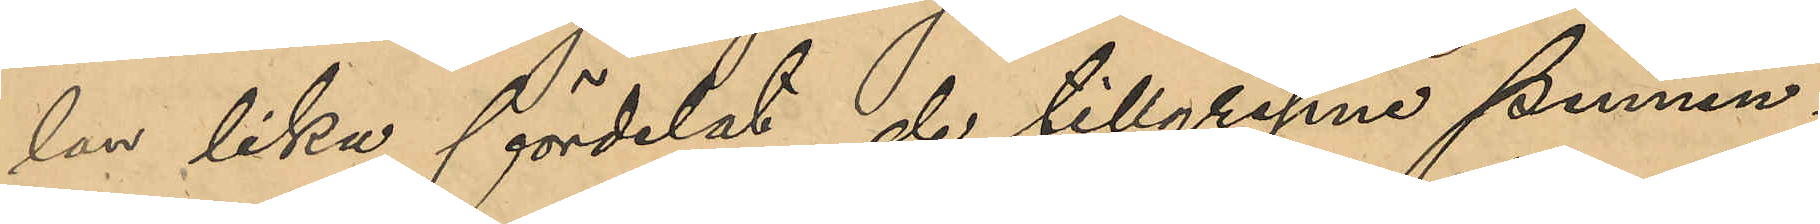lan lika fördelat de tillgripne pennin¬
